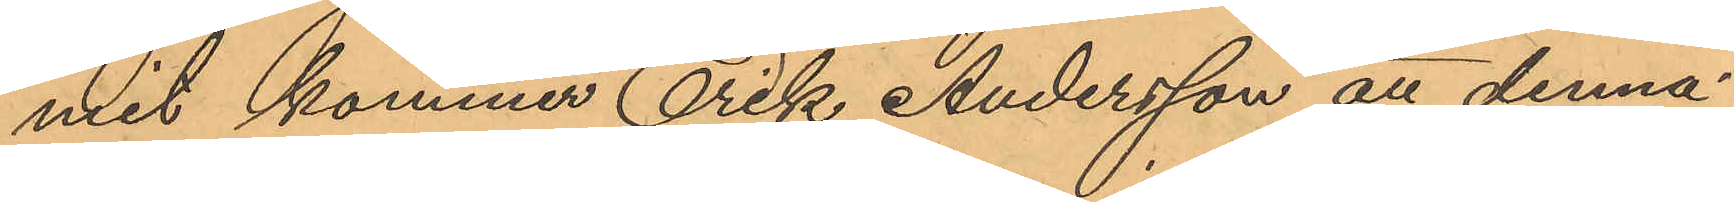mit kommer Erik Andersson att denna
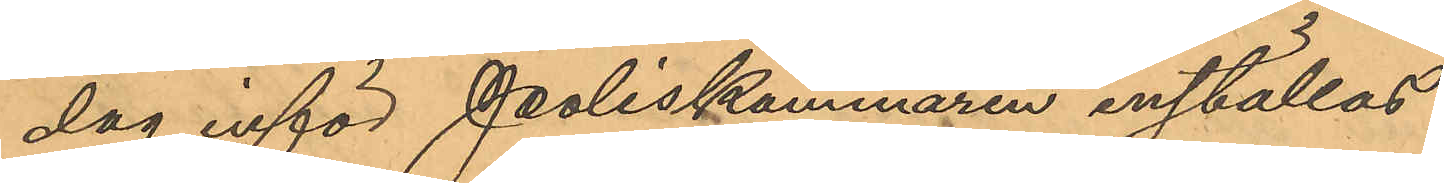dag inför Poliskammaren inställas.
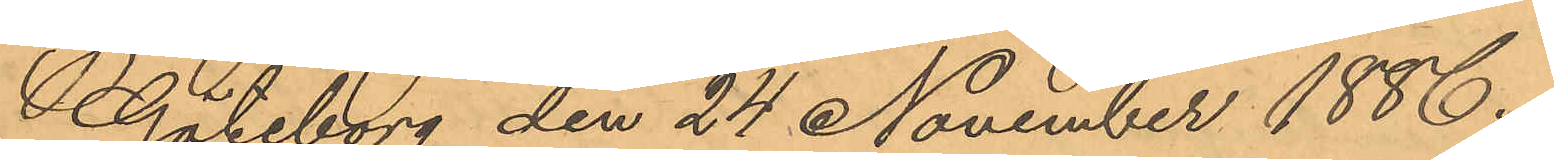Göteborg den 24 November 1886
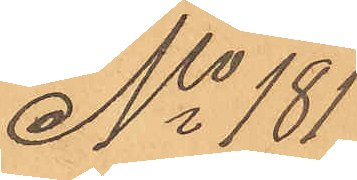No 181
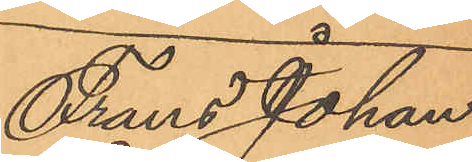Frans Johan
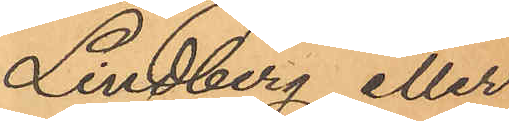Lindberg eller
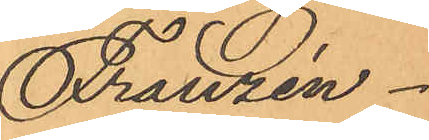Franzén.
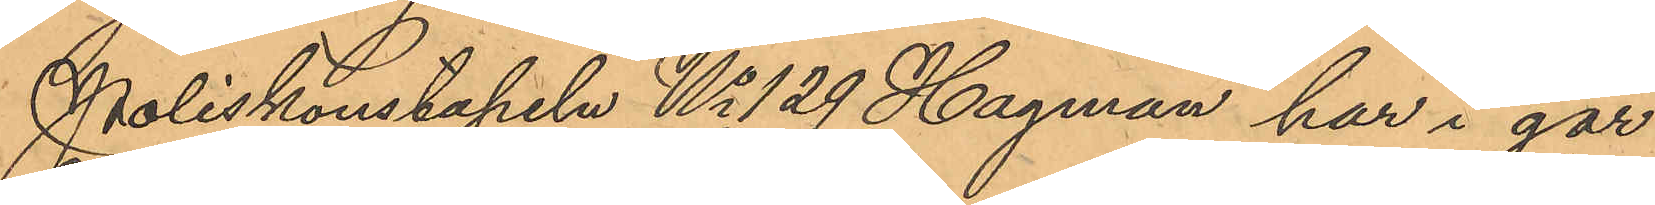Poliskonstapeln No 129 Hagman har i går
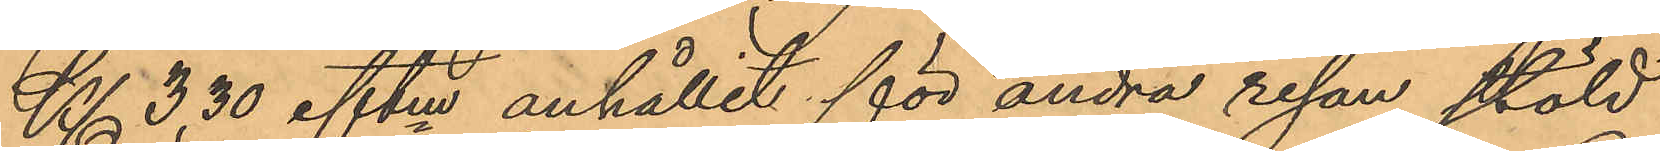Kl. 3,30 eftm anhållit för andra resan stöld
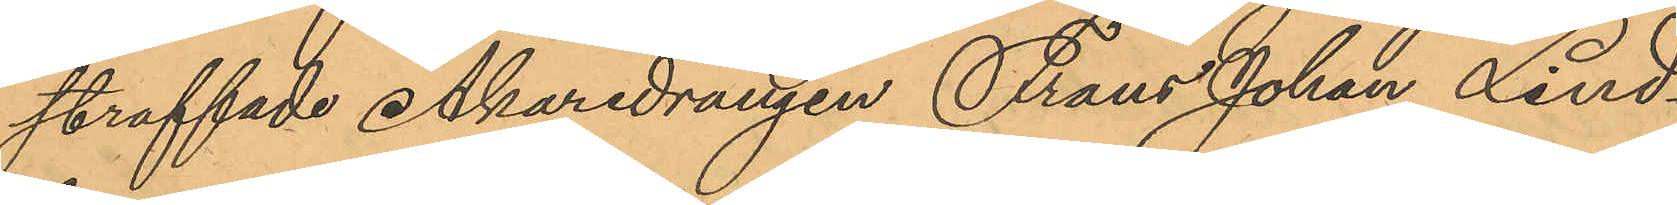straffade Åkaredrängen Frans Johan Lind¬
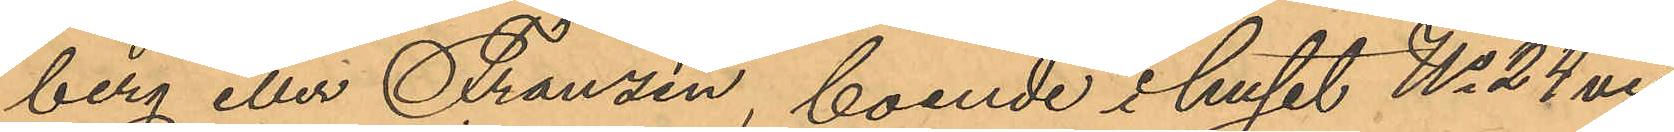berg eller Franzén, boende i huset No 24 vid
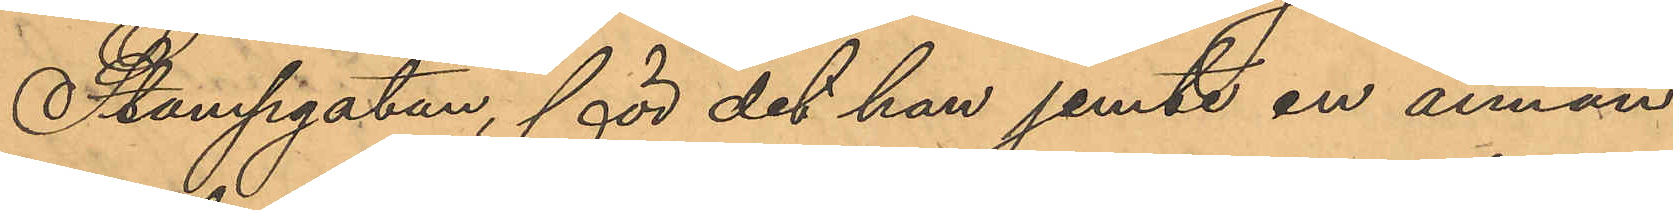Stampgatan, för det han jemte en annan
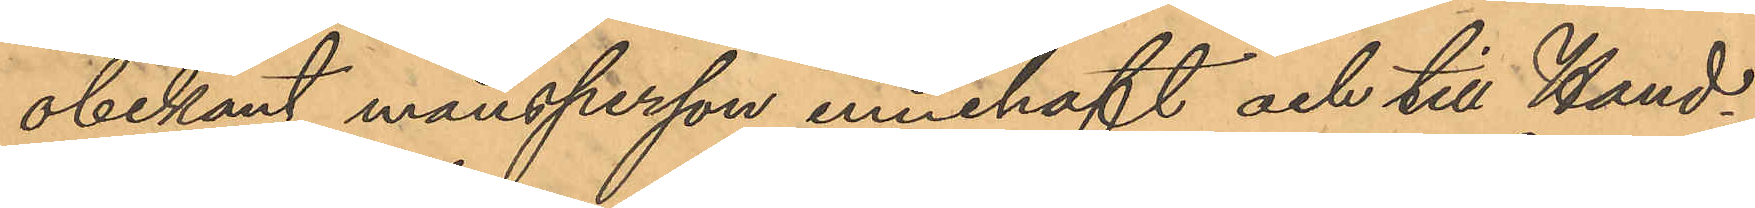obekant mansperson innehaft och till Hand¬
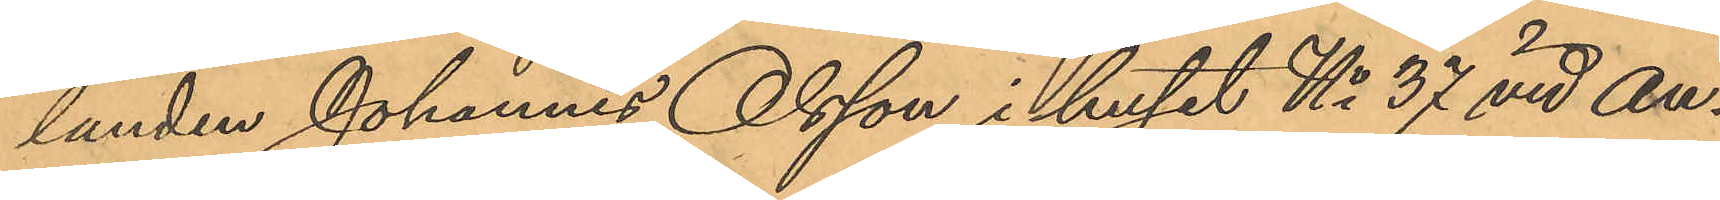landen Johannes Olsson i huset No 37 vid An¬
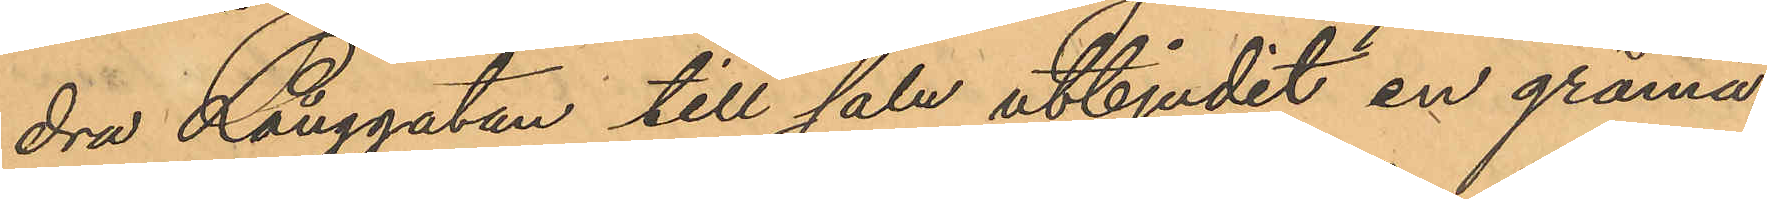dra Långgatan till salu utbjudit en gråmå¬
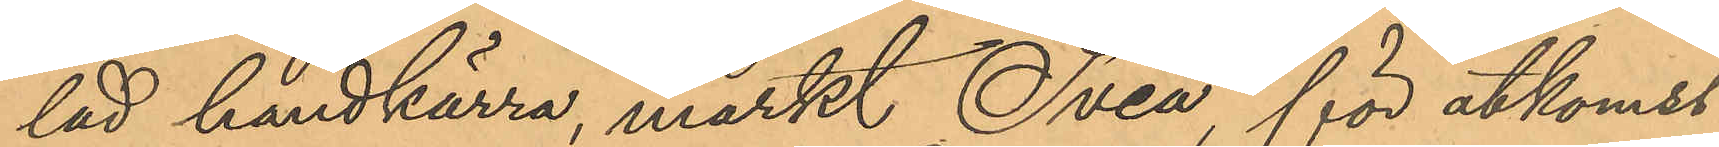lad handkärra, märkt Svea, för åtkomst
